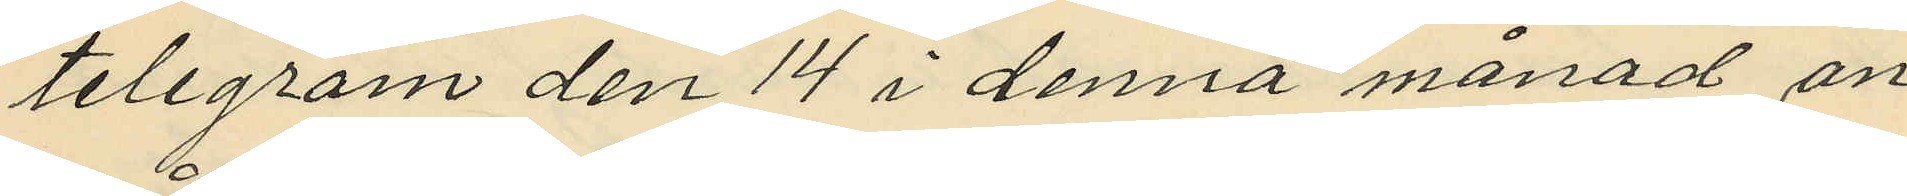telegram den 14 i denna månad an¬
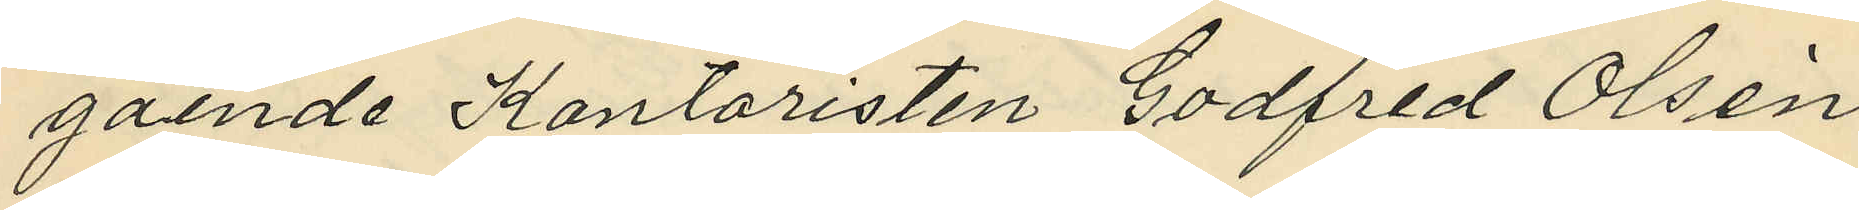gående Kontoristen Godfred Olsén
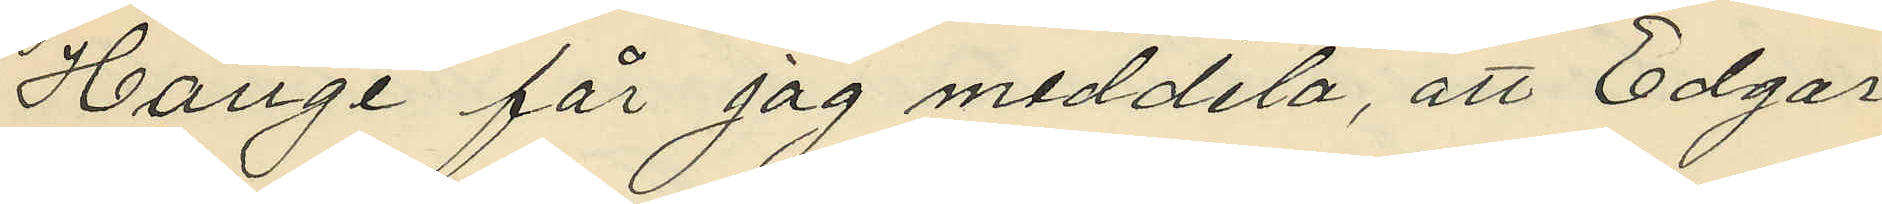Hauge får jag meddela, att Edgar
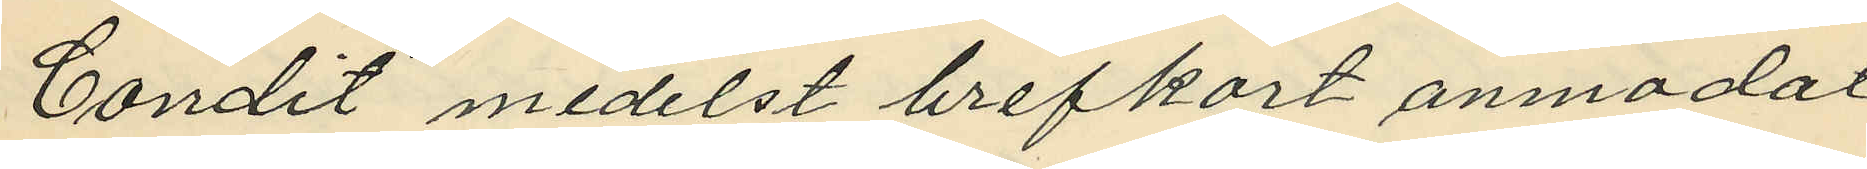Condit medelst brefkort anmodat
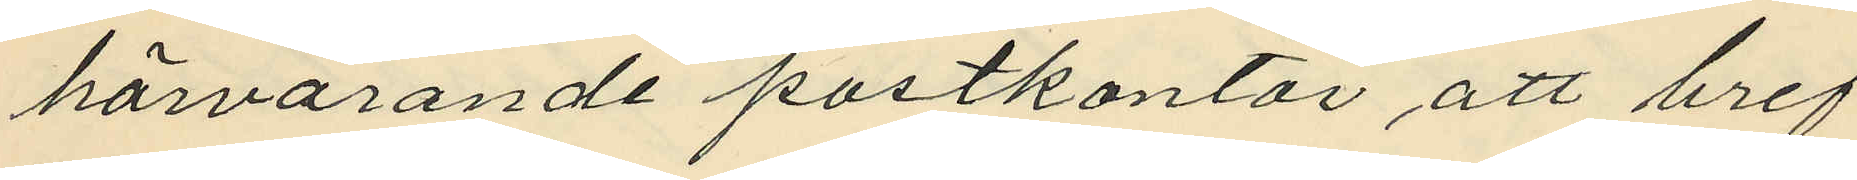härvarande postkontor att bref
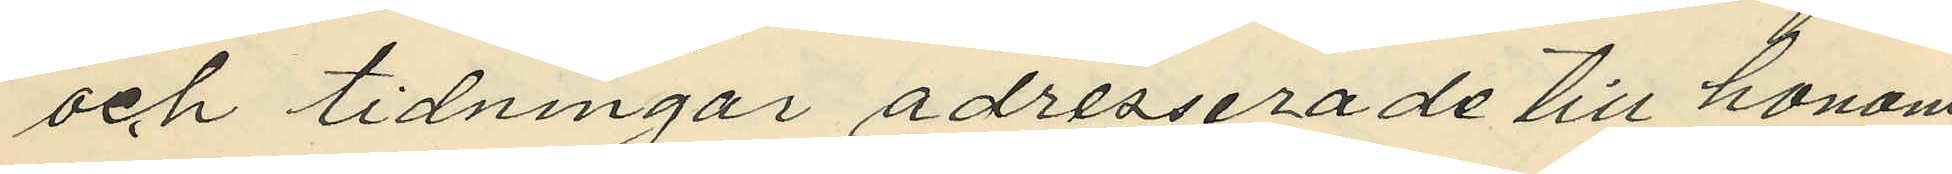och tidningar adresserade till honom
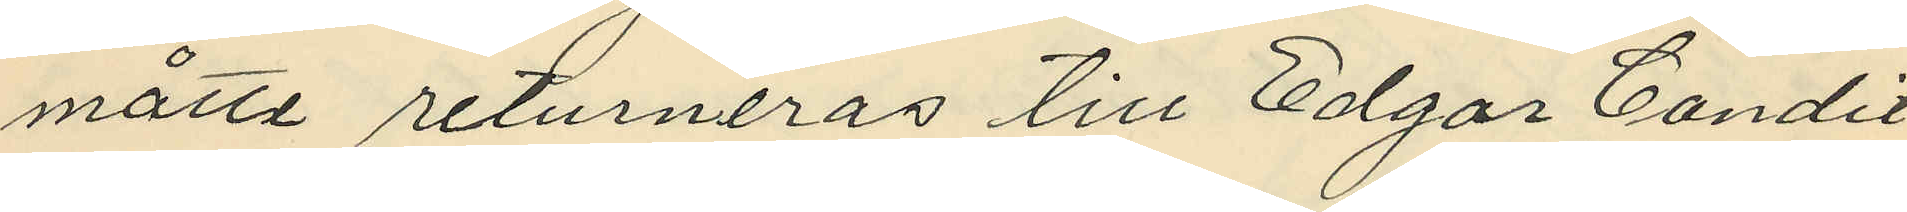måtte returneras till Edgar Condit
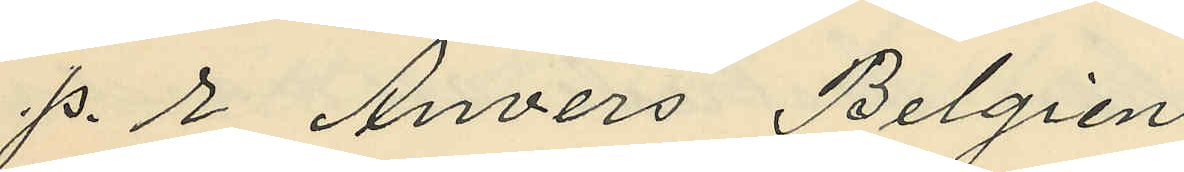p. r Anvers Belgien.
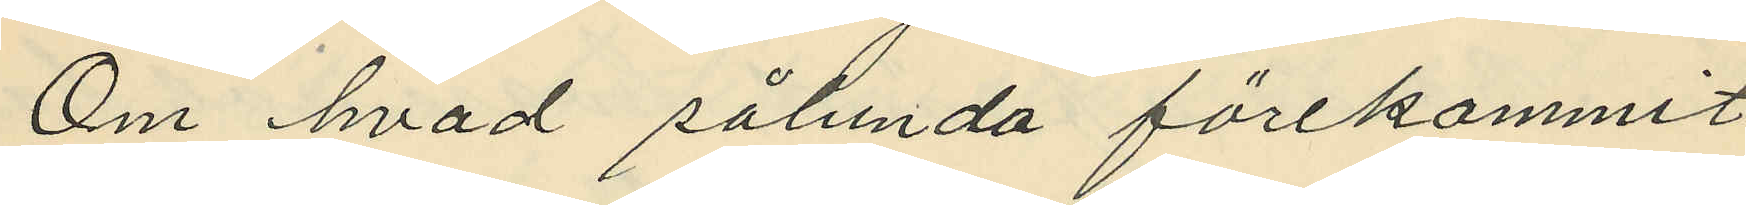Om hvad sålunda förekommit
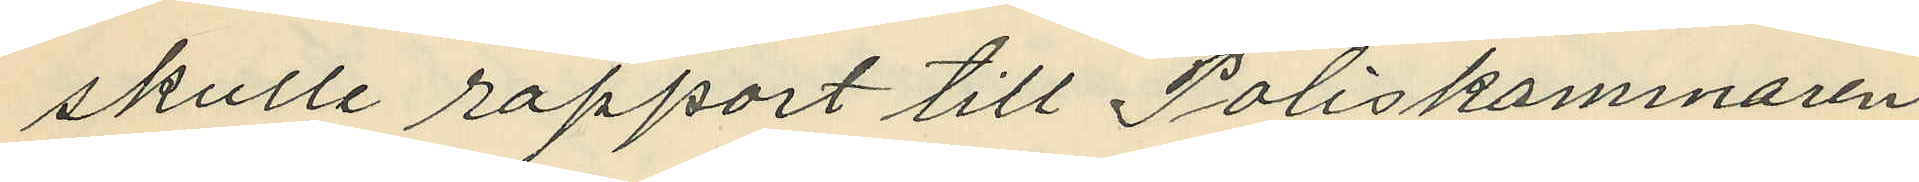skulle rapport till Poliskammaren
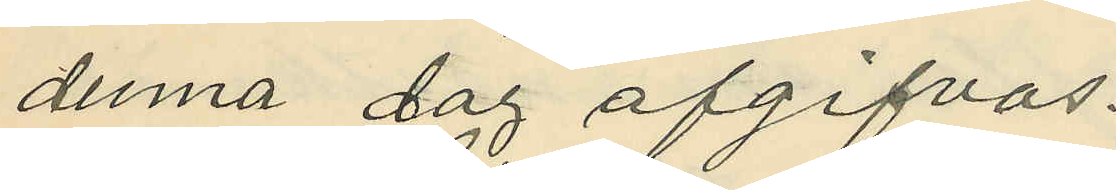denna dag afgifvas.
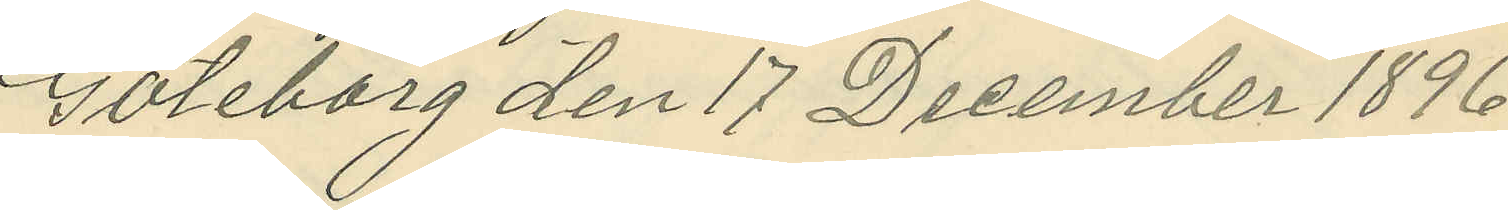Göteborg den 17 December 1896 .
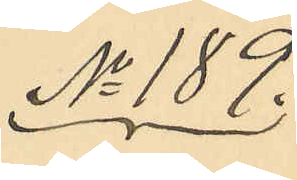No 189.
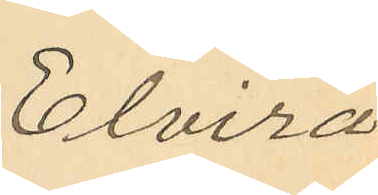Elvira
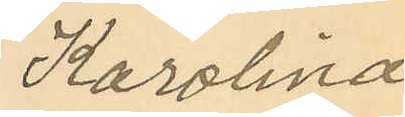Karolina
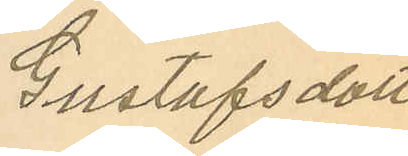Gustafsdotter
